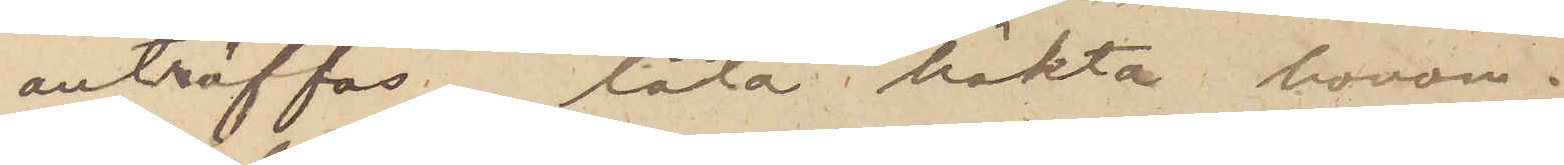anträffas, låta häkta honom.
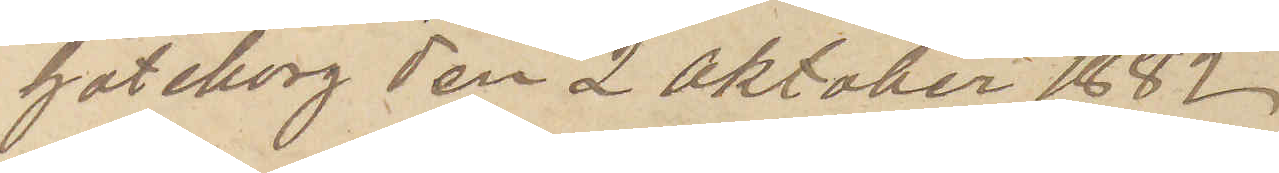Göteborg den 2 Oktober 1882
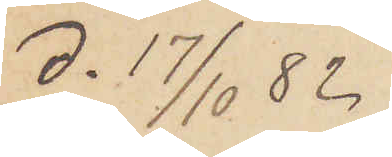d. 17/10 82.
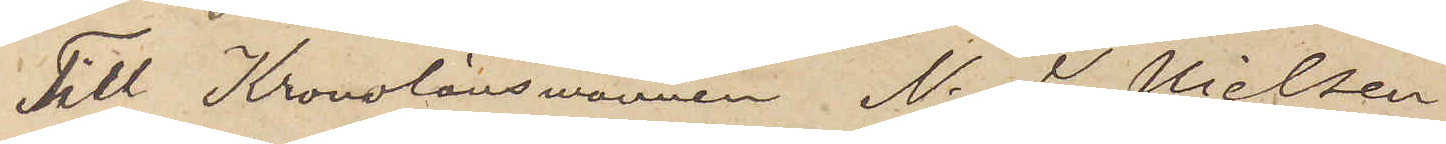Tll Kronolänsmannen N. J. Nielsen
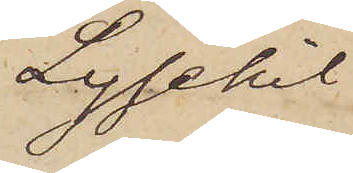Lysekil
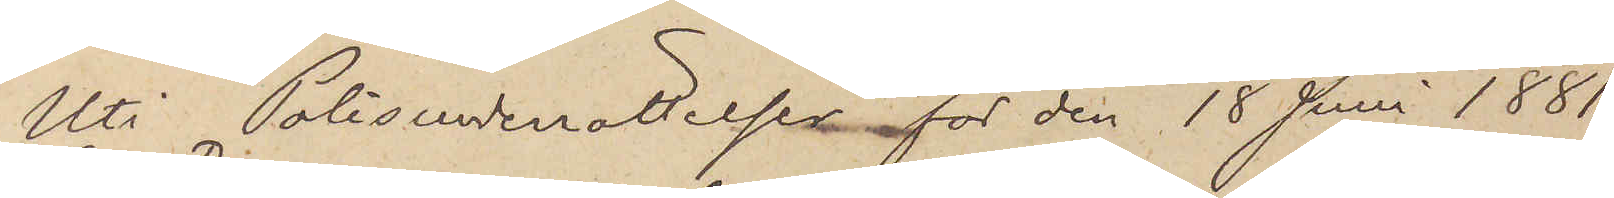Uti Polisunderrättelsen för den 18 Juni 1881
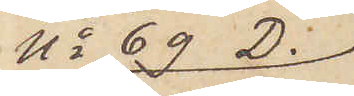No 69 D.
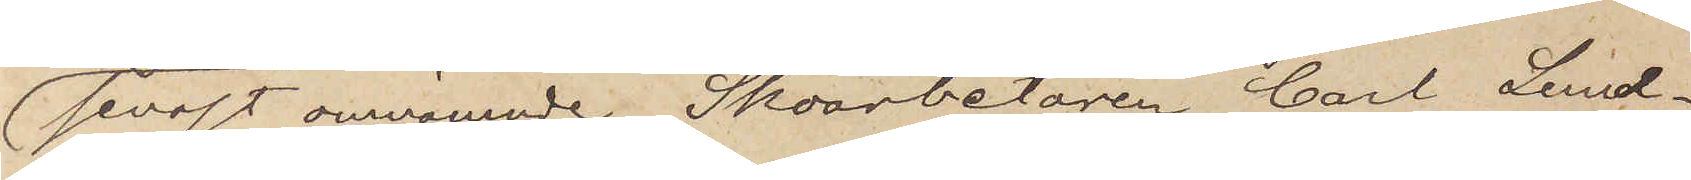senast omnämnde Skoarbetaren Carl Lund¬
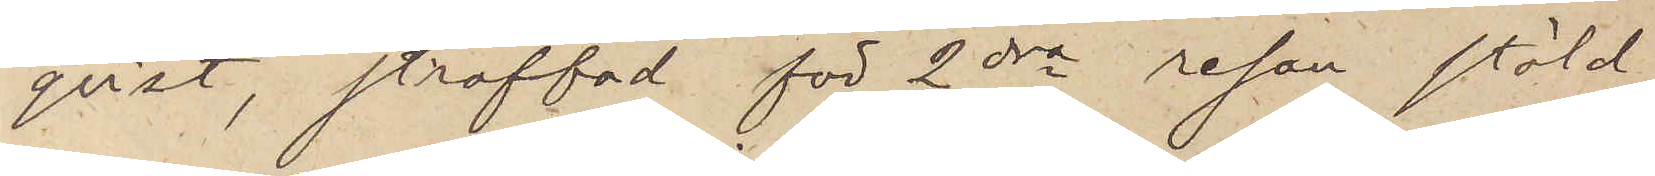qvist, straffad för 2dra resan stöld
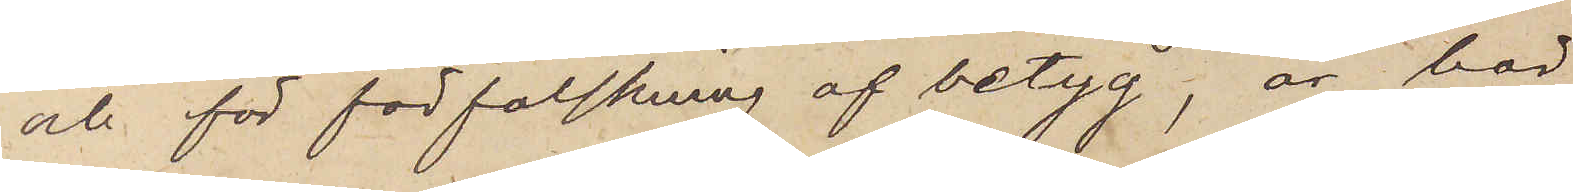och för förfalskning af betyg, är här
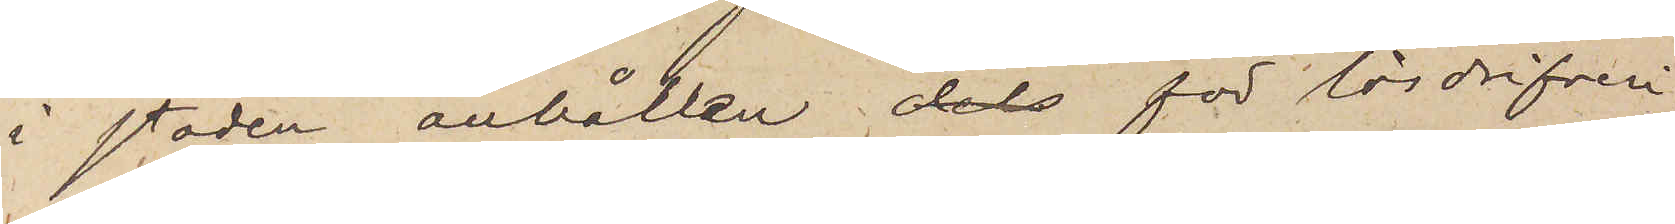i staden anhållen  för lösdrifveri;
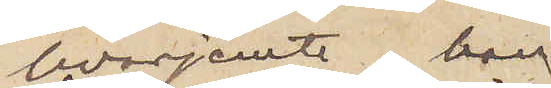hvarjemte han
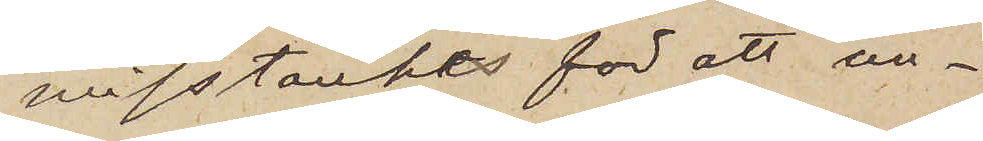misstänkes för att un¬
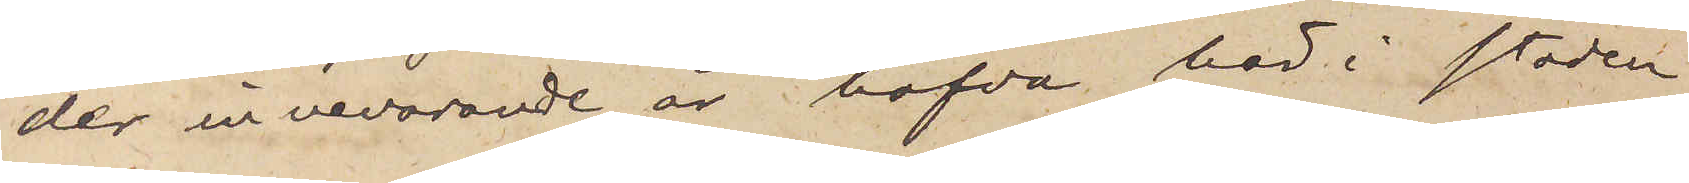der innevarande år hafva här i staden
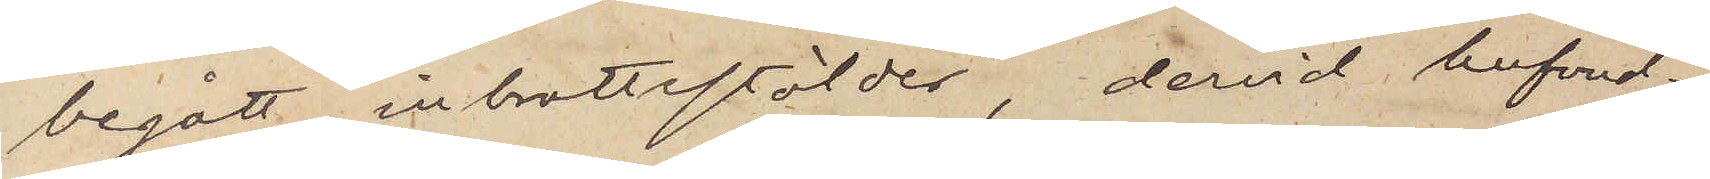begått inbrottsstölder, dervid hufvud¬
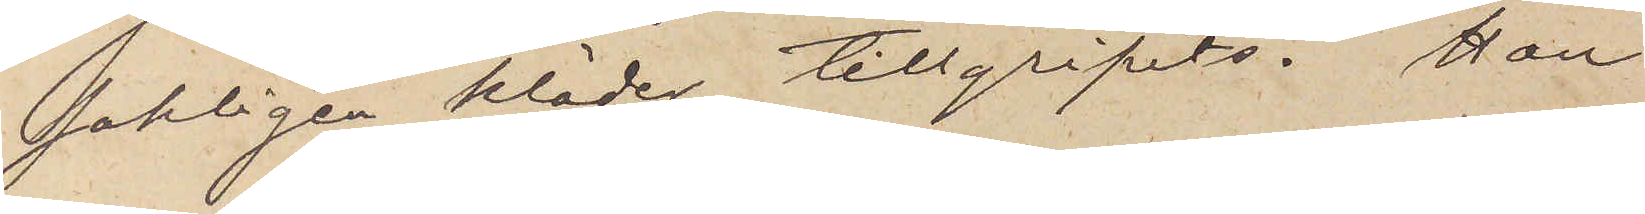sakligen kläder tillgripits. Han
